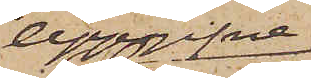Uppgifne
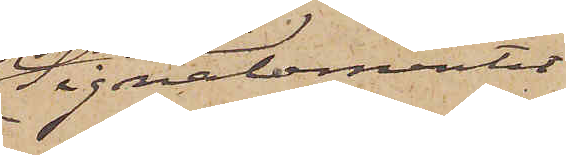Signalementet
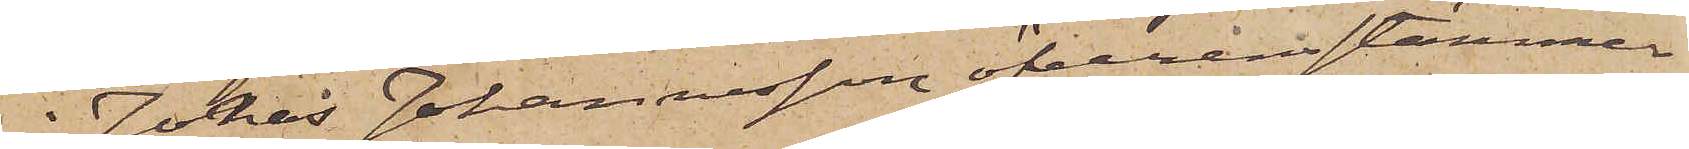å Jonas Johannesson öfverensstämmer
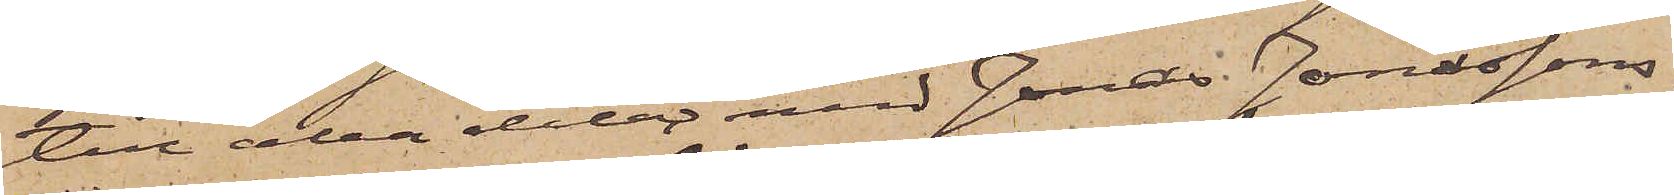till alla delar med Jonas Jonassons,
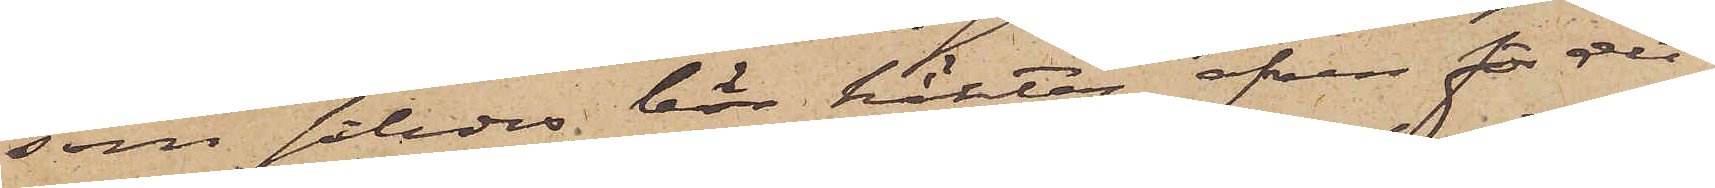som således bör häktas äfven för det
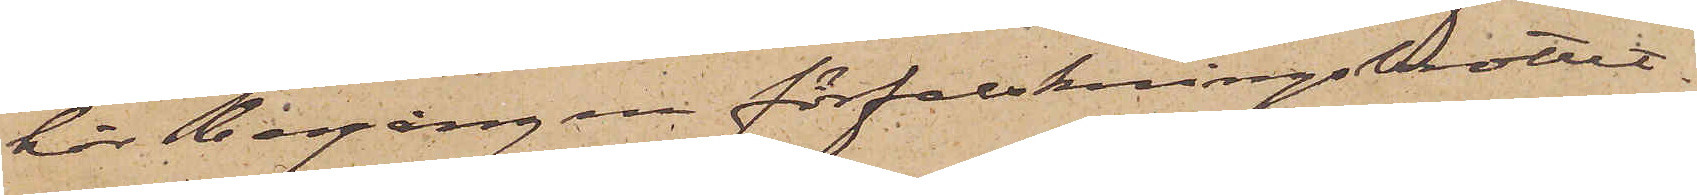här begångne förfalskningsbrottet.
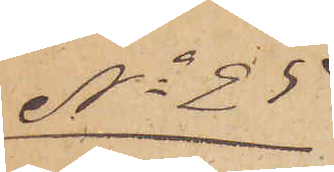No 35
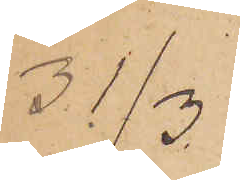31/3
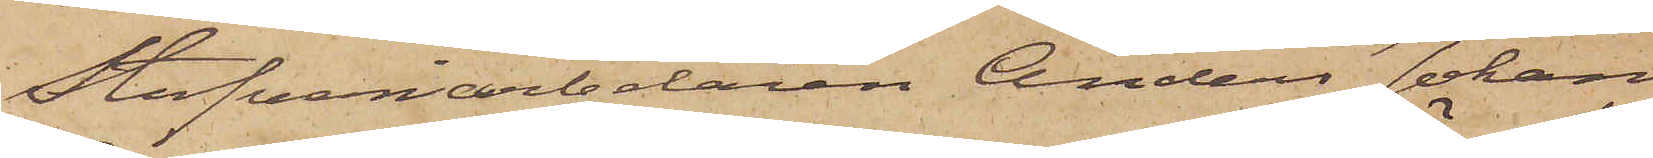Stufveriarbetaren Anders Johan
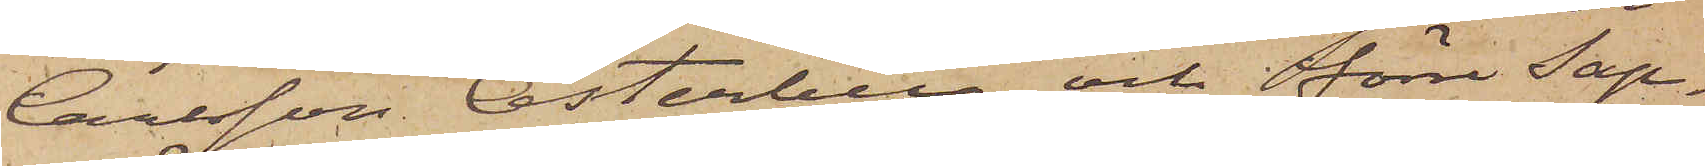Carlsson Österberg och förre Sap¬
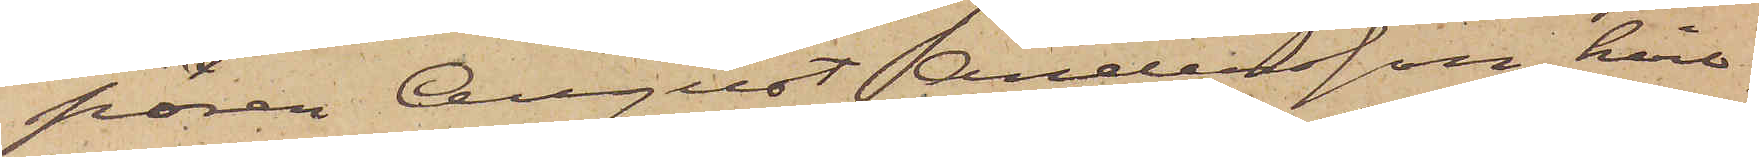pören August Andersson, hvil¬
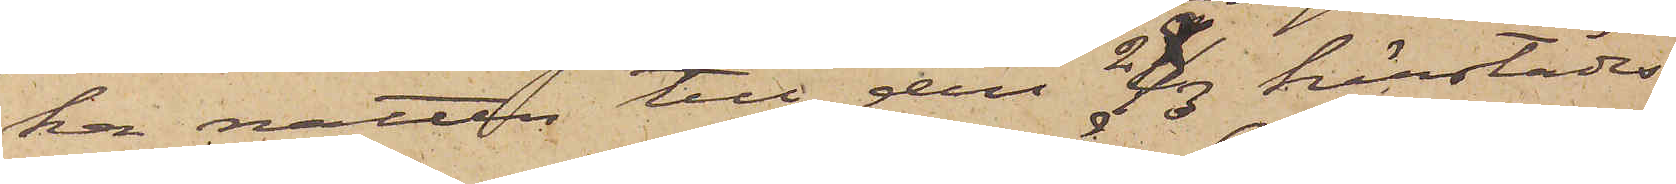ka natten till den 28/3 härstädes
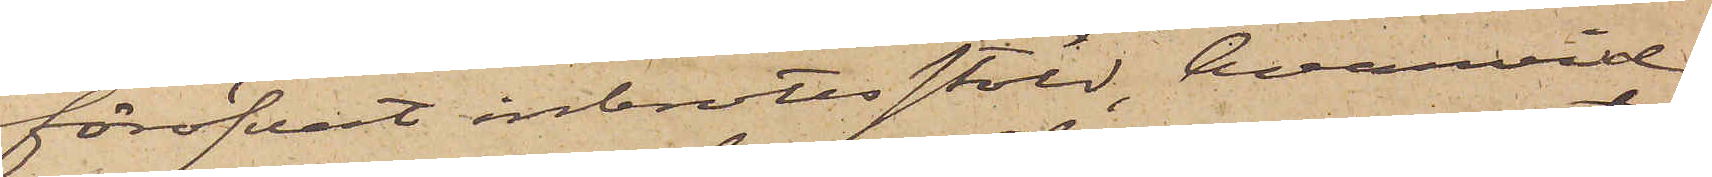föröfvat inbrottsstöld, hvarvid
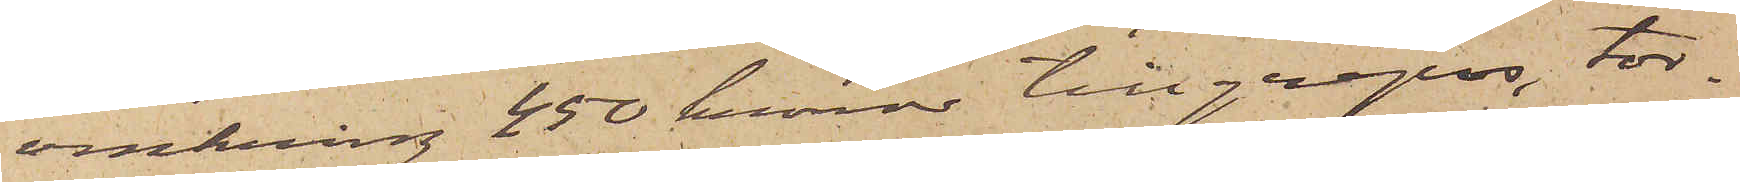omkring 450 kronor tillgrepos, tor¬
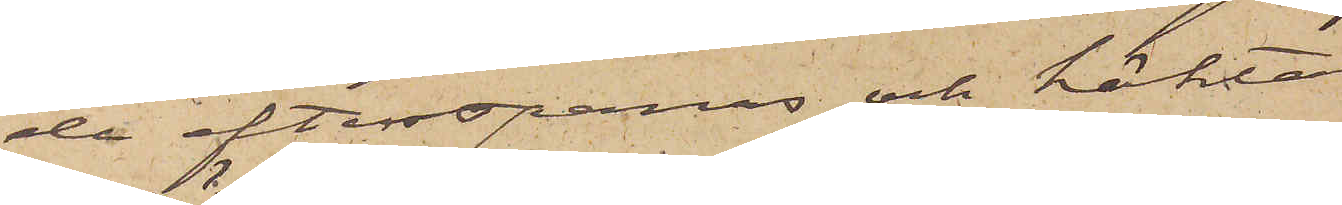de efterspanas och häktas. 
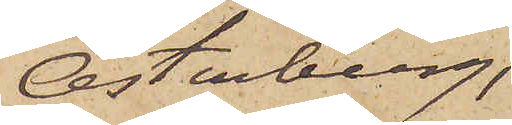Österberg,
